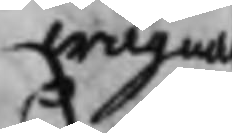wägnar
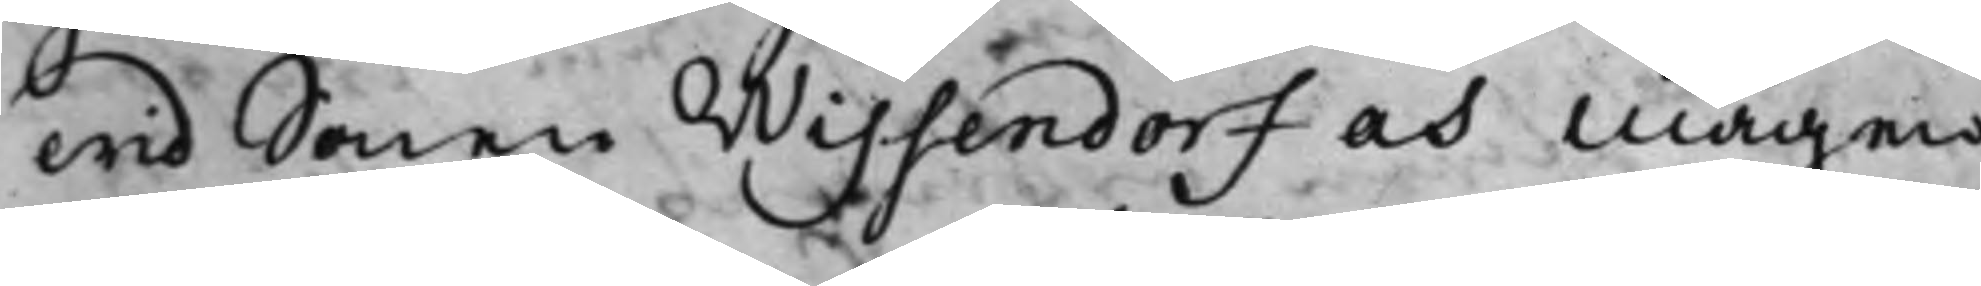wid Sonen Wissendorf och Mågen
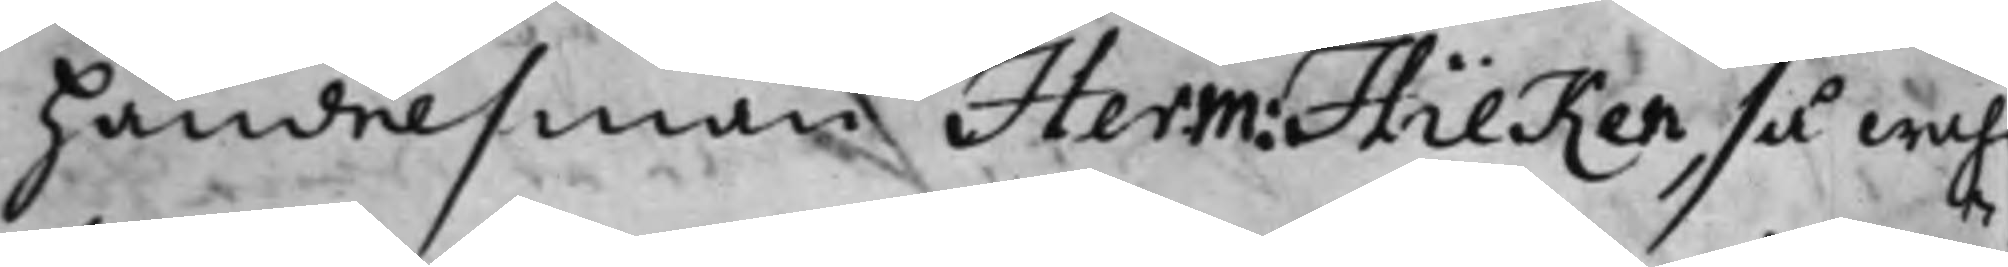handelsman Herm: Hilken, så wähl
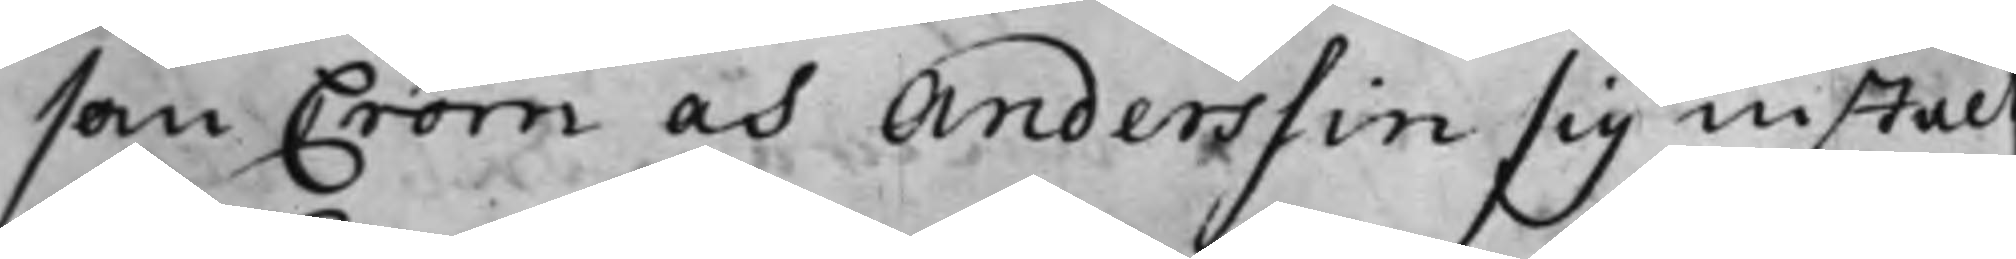som Crom och Anderssin sig instält
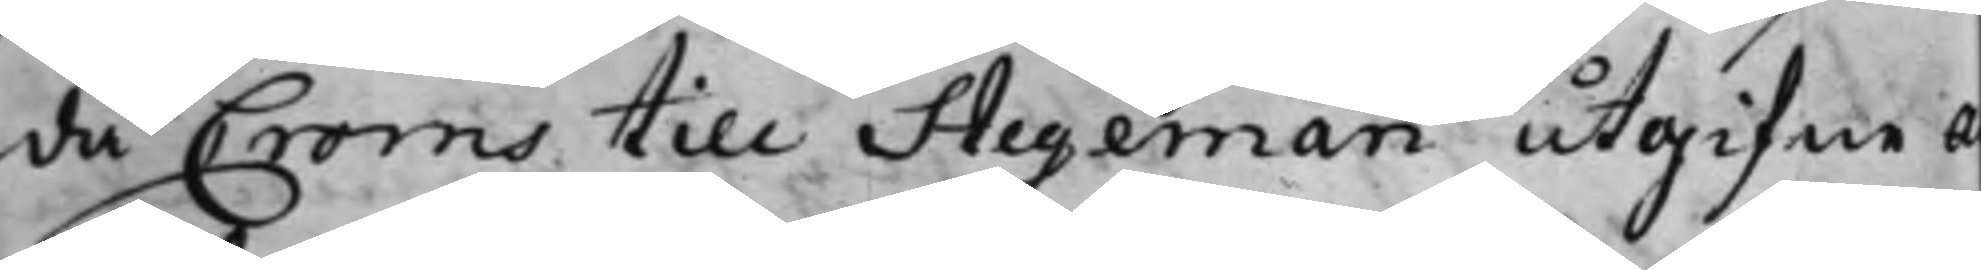då Croms till Stegeman utgifne A
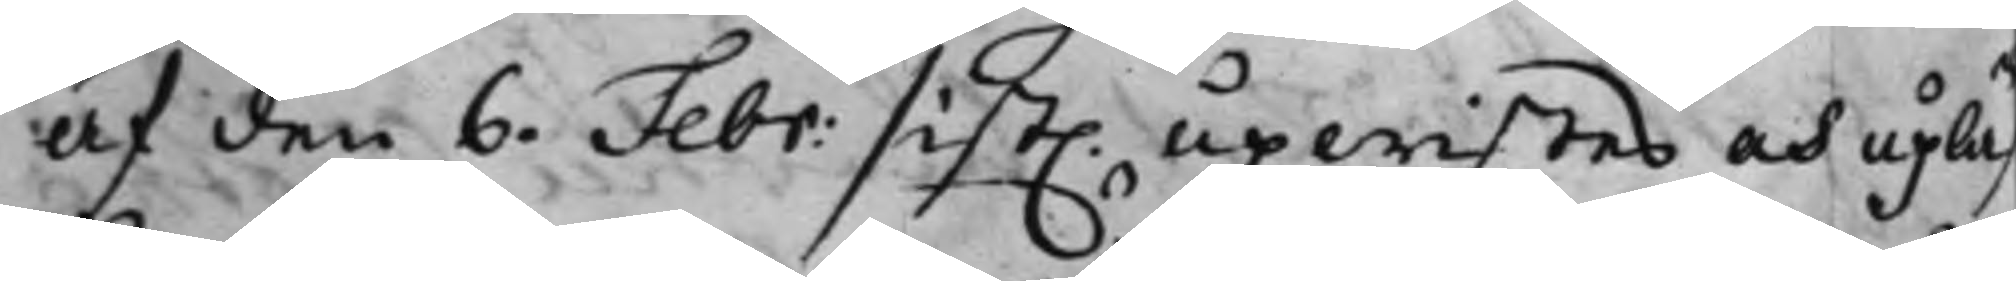af den 6. Febr: sist. upwistes och upläs
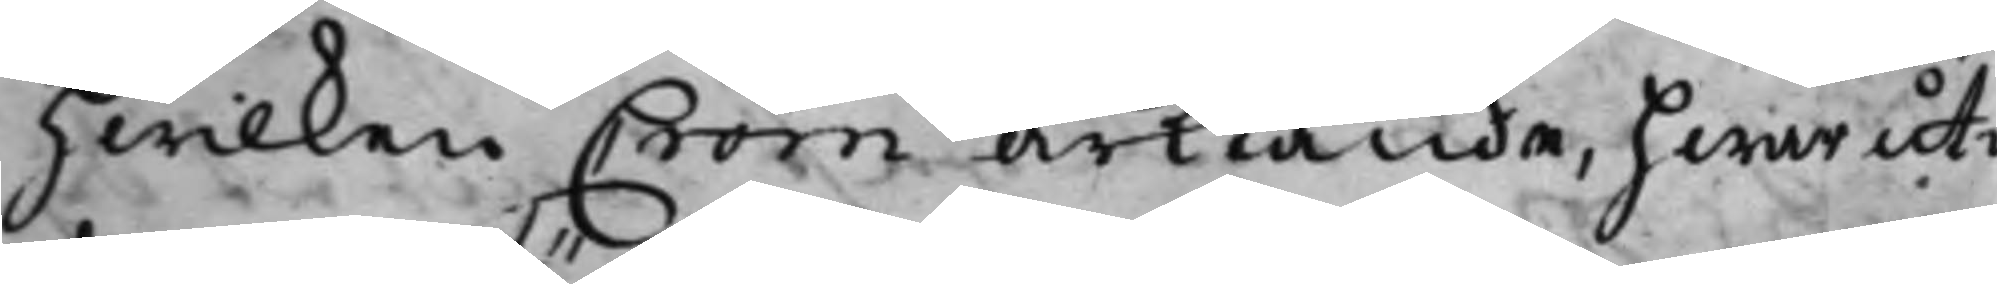hwilken Crom ärkiände, hwaruti
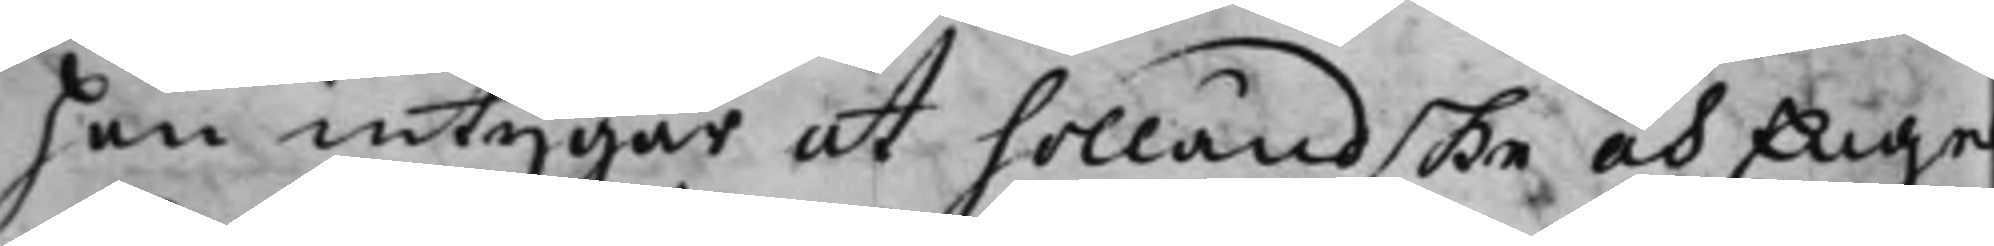han intygar at holländske och Engel¬
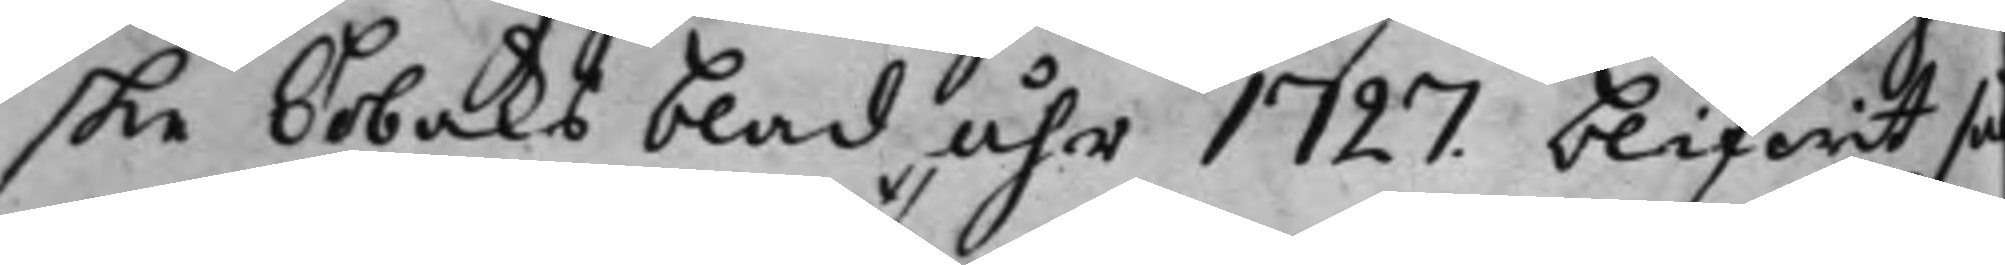ske Tobaks blad, åhr 1727. blifwit så
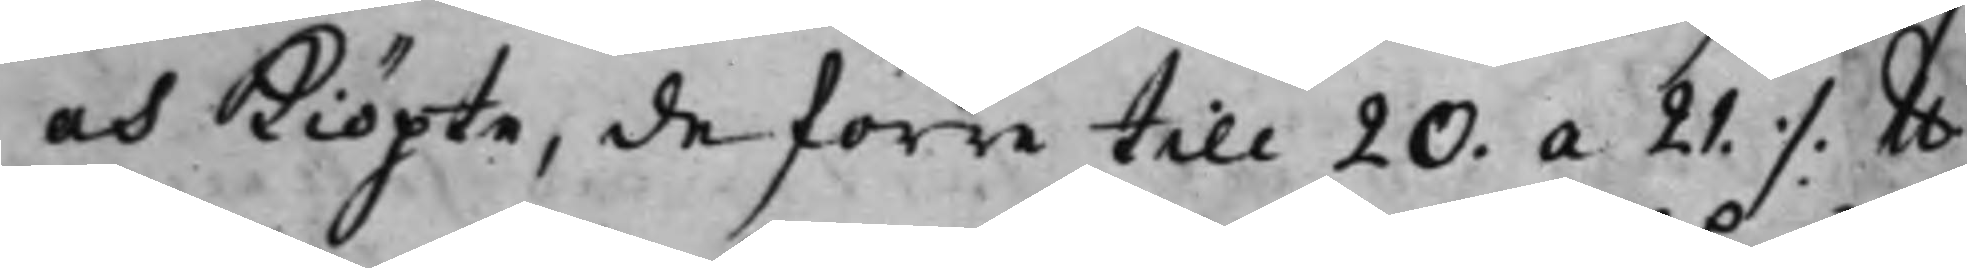och kiöpte, de förre till 20. a 21. ./. lb
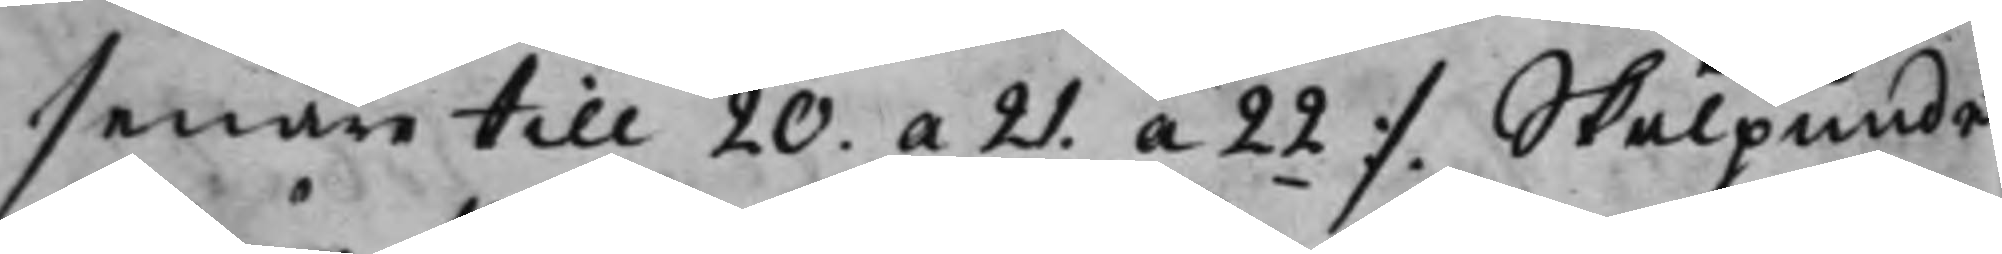senare till 20. a 21. a 22 ./. Skålpundet
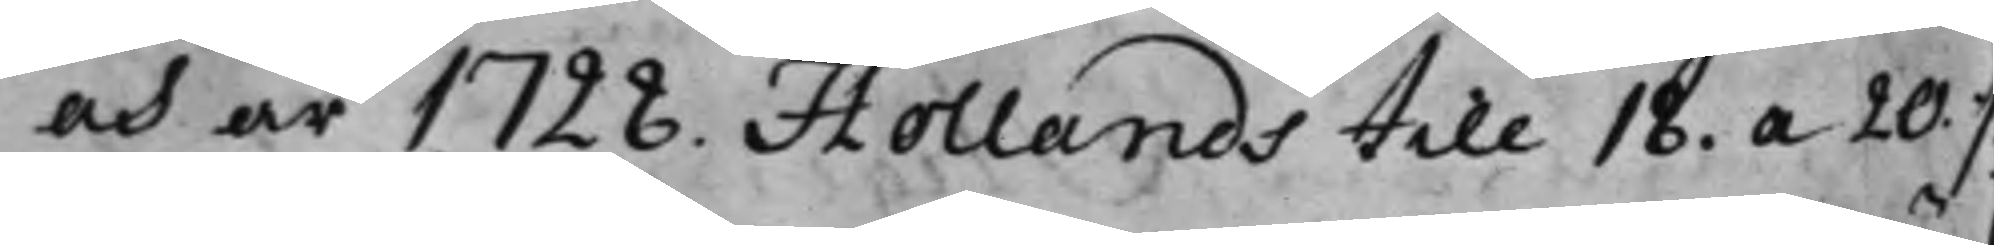och år 1728. Hollands till 18. a 20. ./.
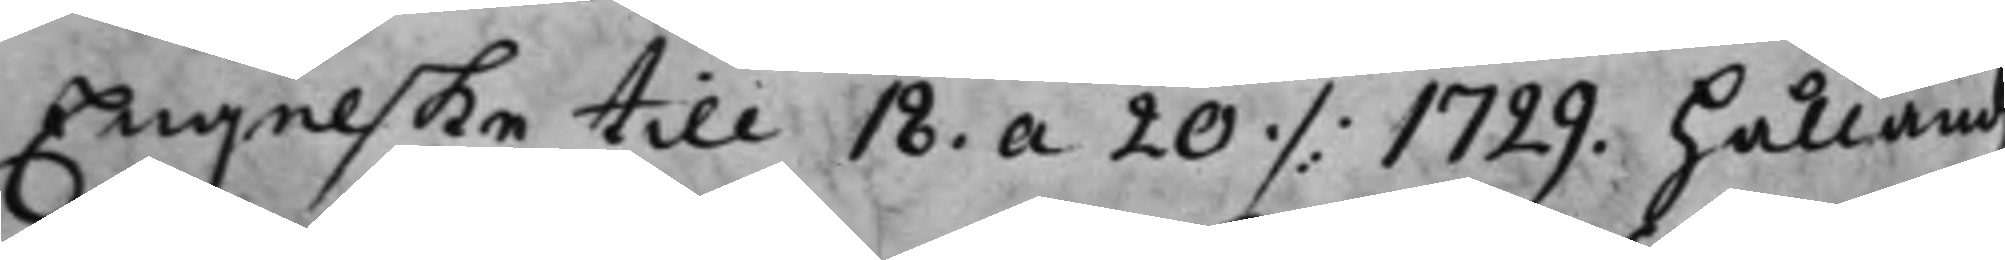Engelske till 18. a 20 ./. 1729. hålländs
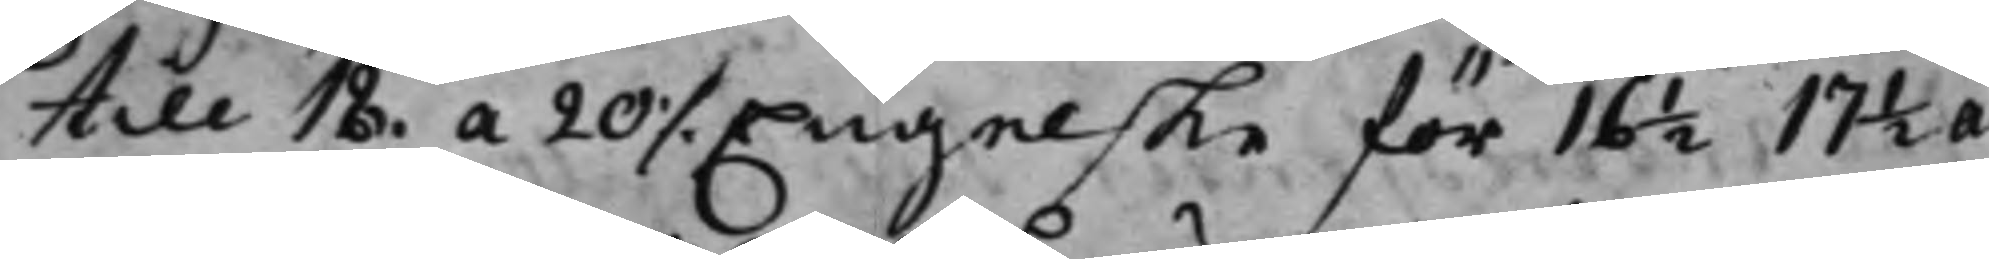till 18. a 20 ./. Engelske för 16 ½ 17 ½ a
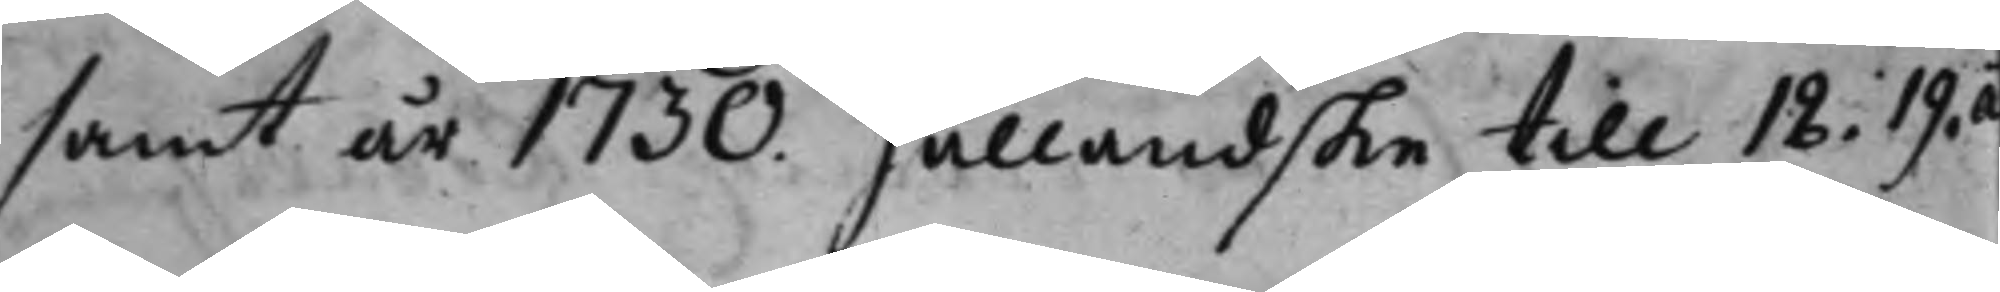samt år 1730. Hålländske till 18. 19. a
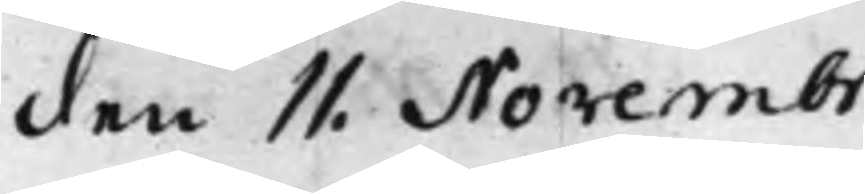den 11. Novembr.
